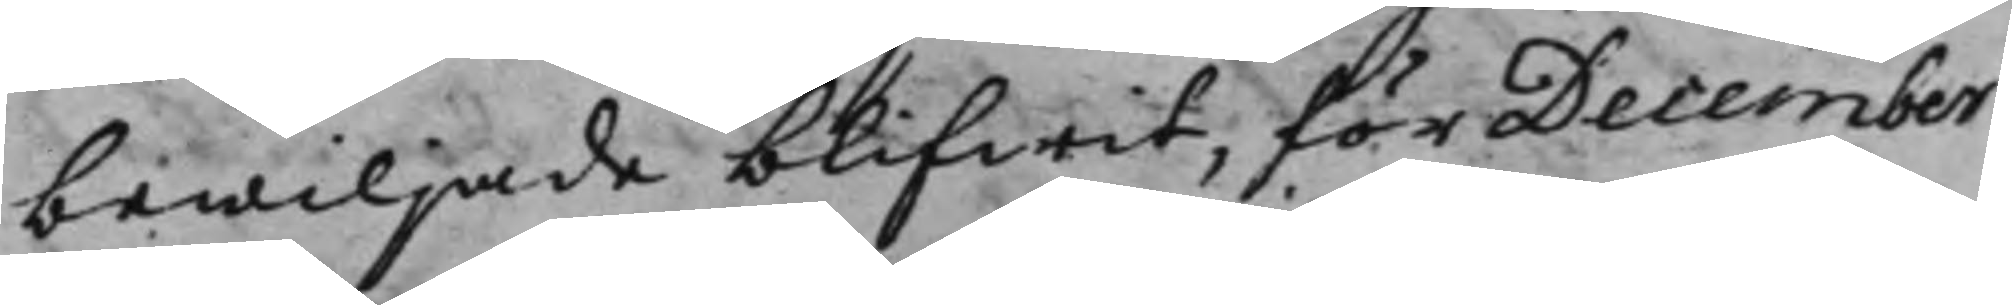bewiljade blifwit, för December
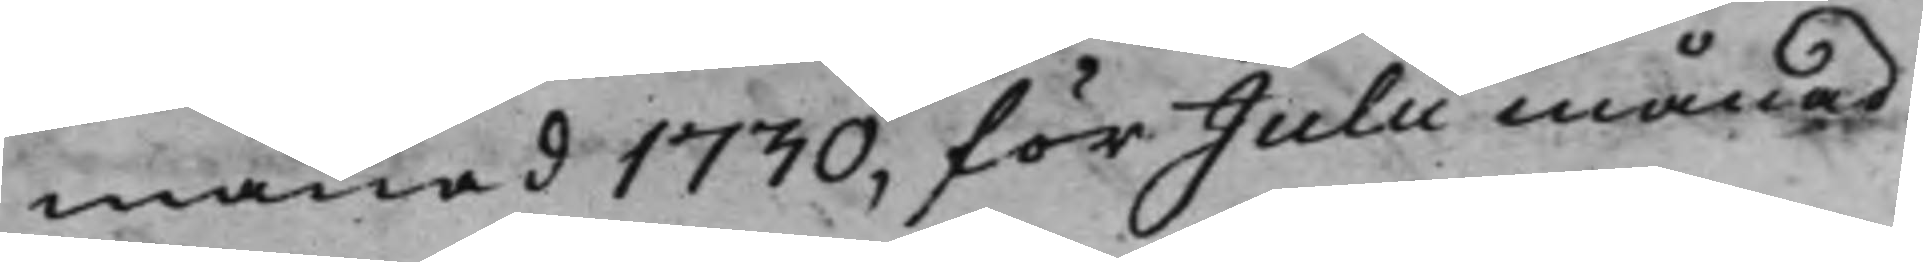månad 1730, för Julii månad
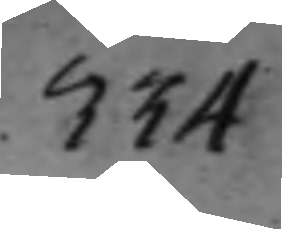334
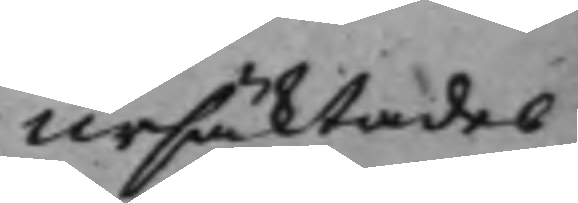Ursäktades
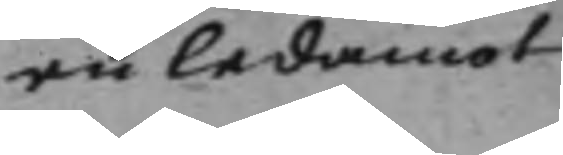en ledamot
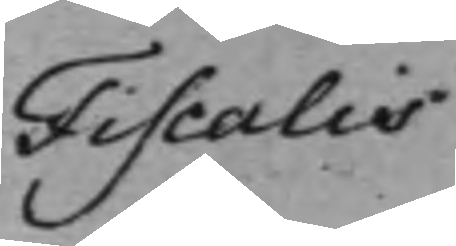Fiscalis
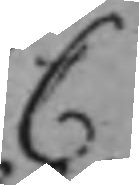C
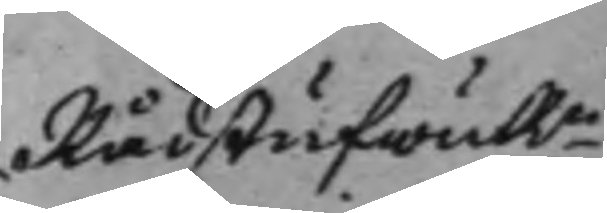RådstufwuRn
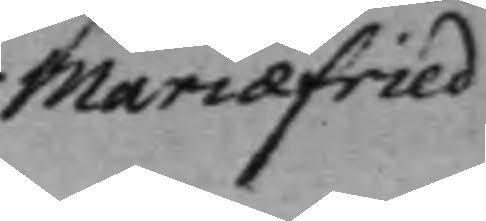Mariæfried
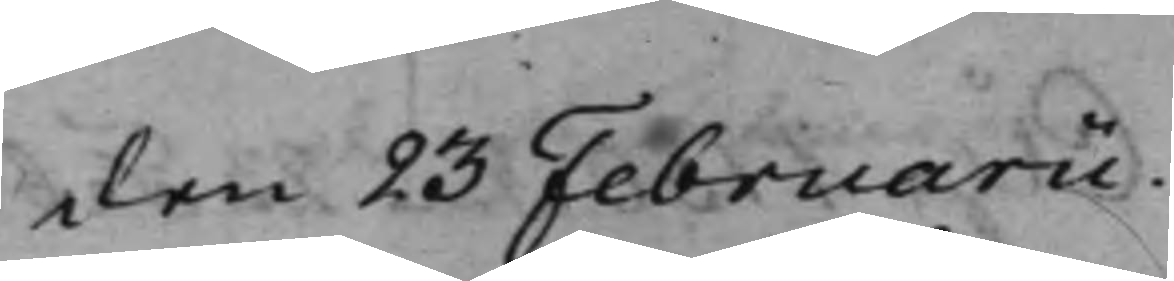den 23 Februarii.
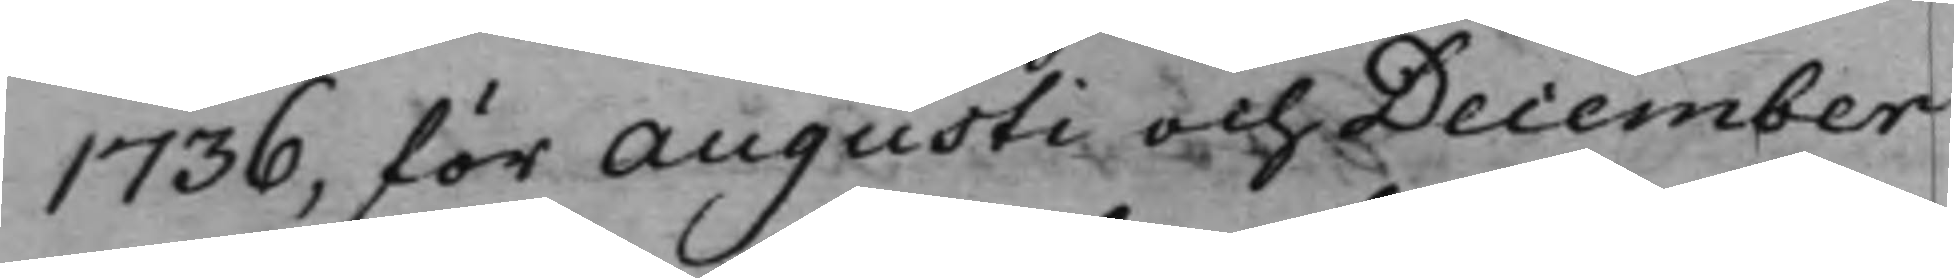1736, för Augusti och December
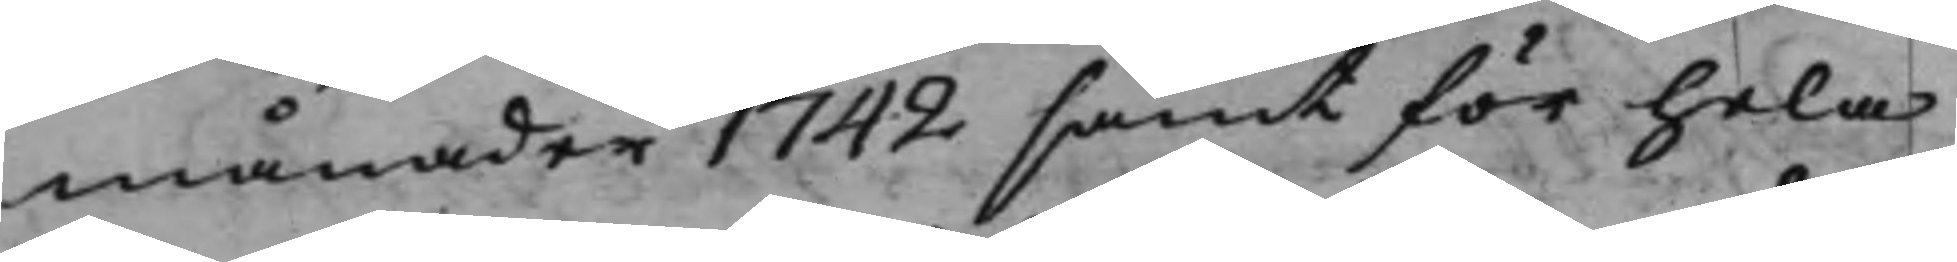månader 1742 samt för hela
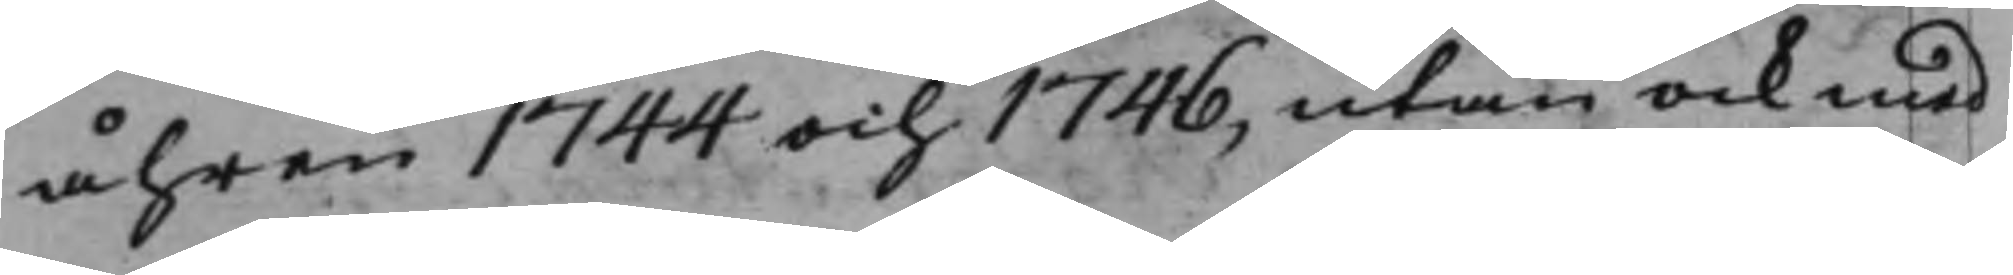åhren 1744 och 1746, utan ock med
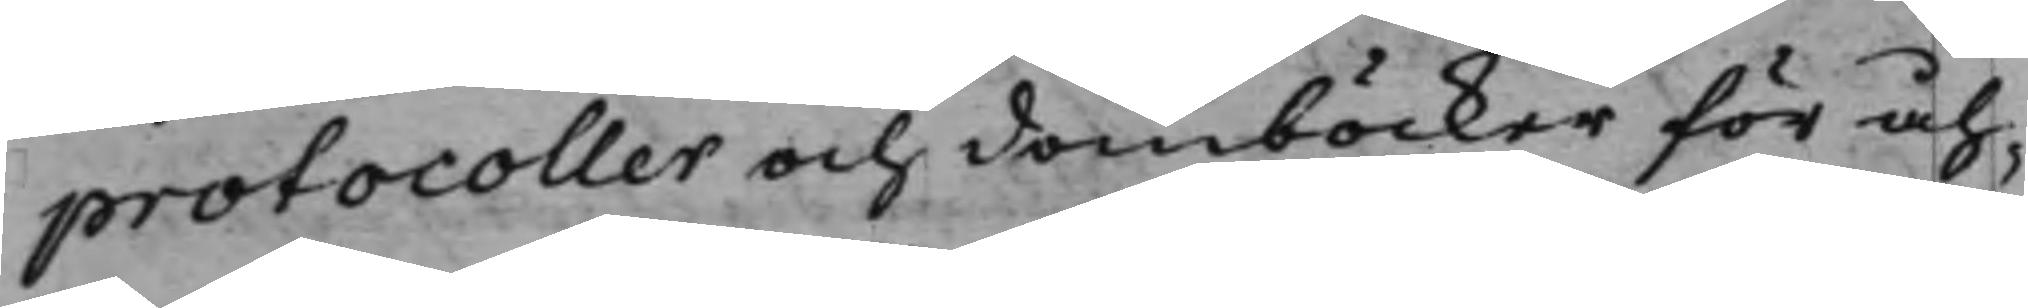protocoller och domböcker för åh¬
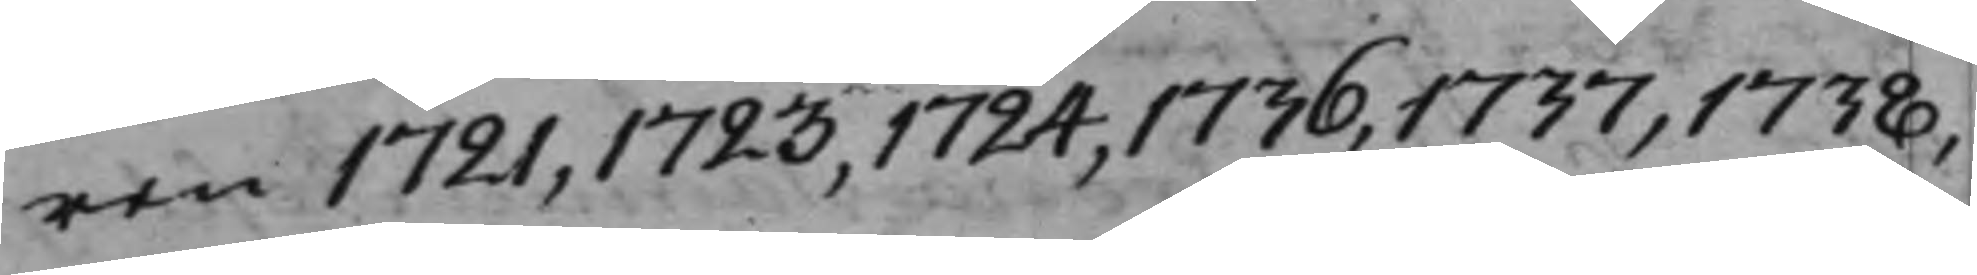ren 1721, 1723, 1724, 1736, 1737, 1738,
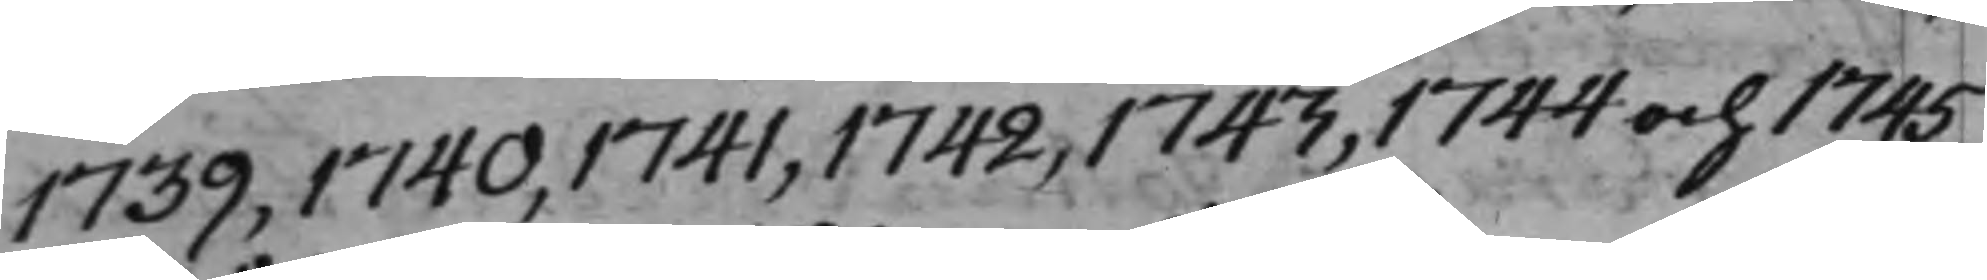1739, 1740, 1741, 1742, 1743, 1744 och 1745,
